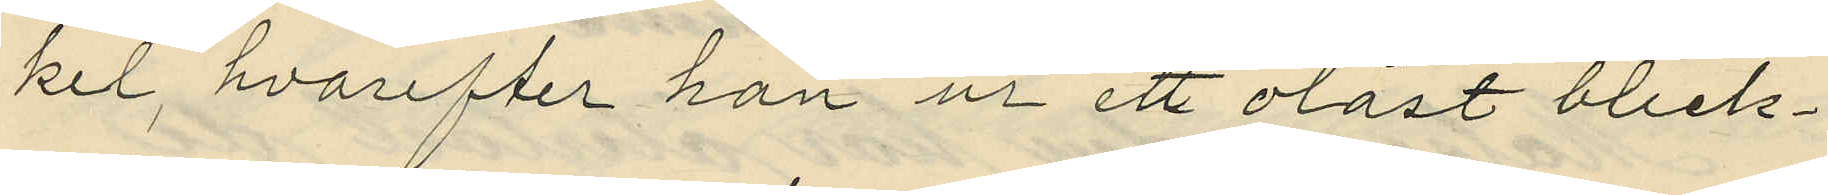kel, hvarefter han ur ett olåst bleck¬
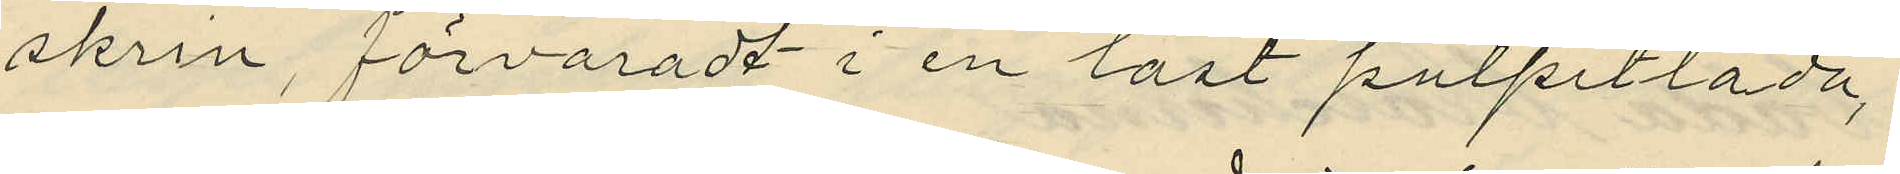skrin, förvaradt i en låst pulpetlåda,
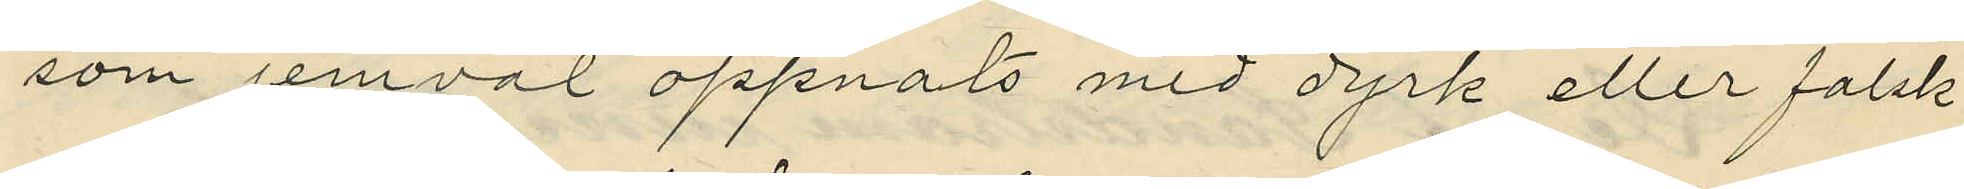som jemväl öppnats med dyrk eller falsk
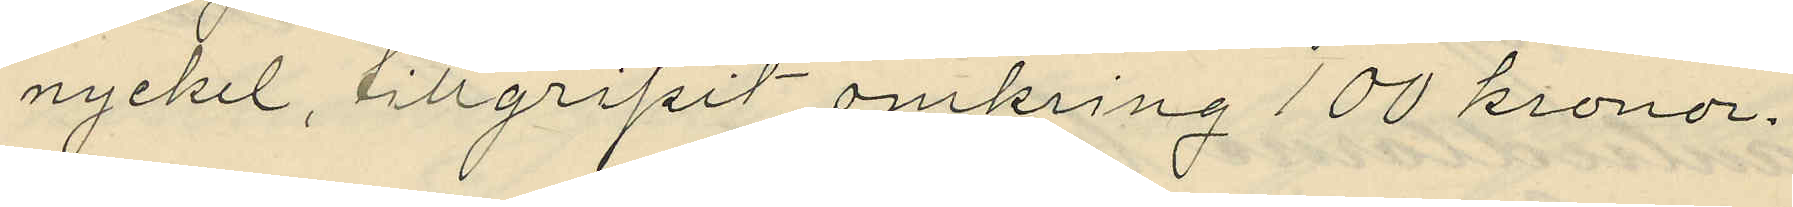nyckel, tillgripit omkring 100 kronor.
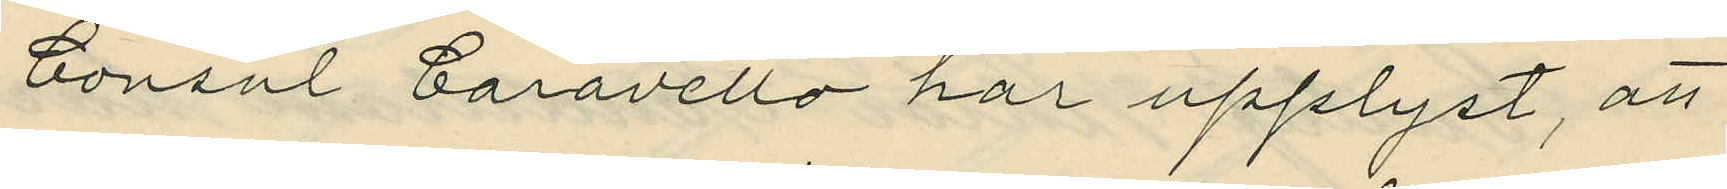Consul Caravello har upplyst, att
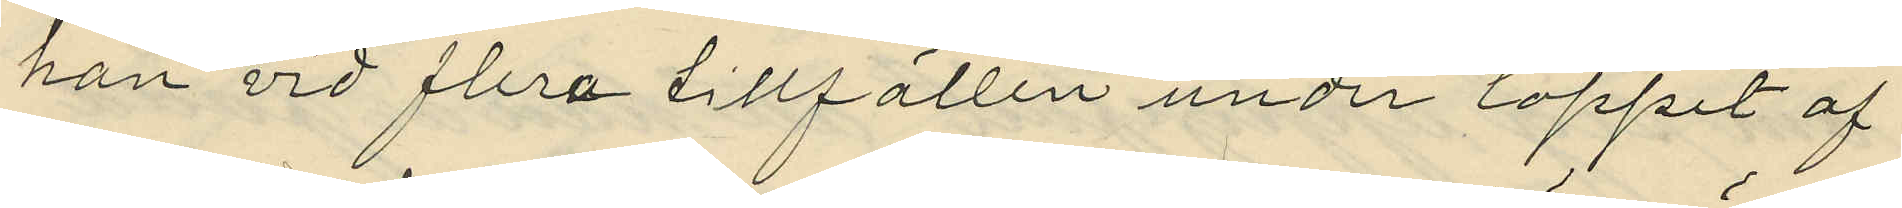han vid flera tillfällen under loppet af
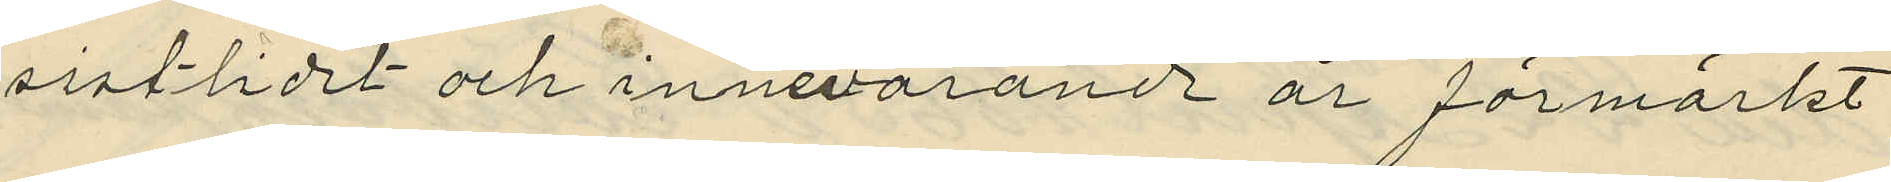sistlidet och innevarande år förmärkt
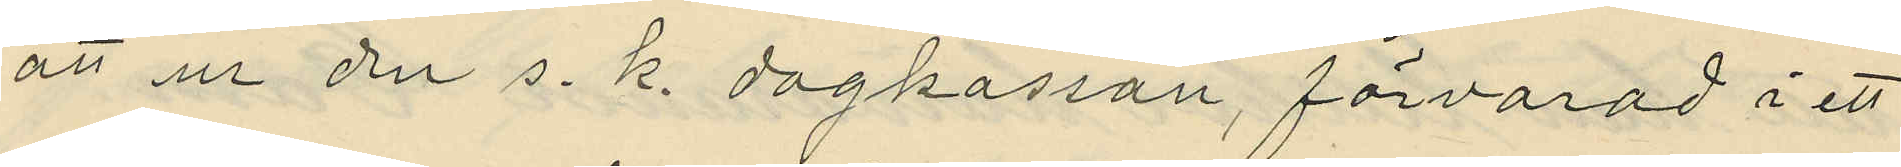att ur den s. k. dagkassan, förvarad i ett
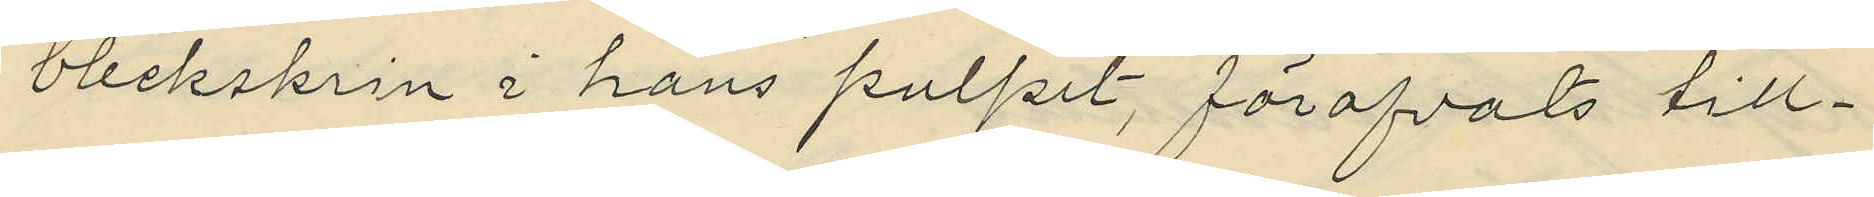bleckskrin i hans pulpet, föröfvats till¬
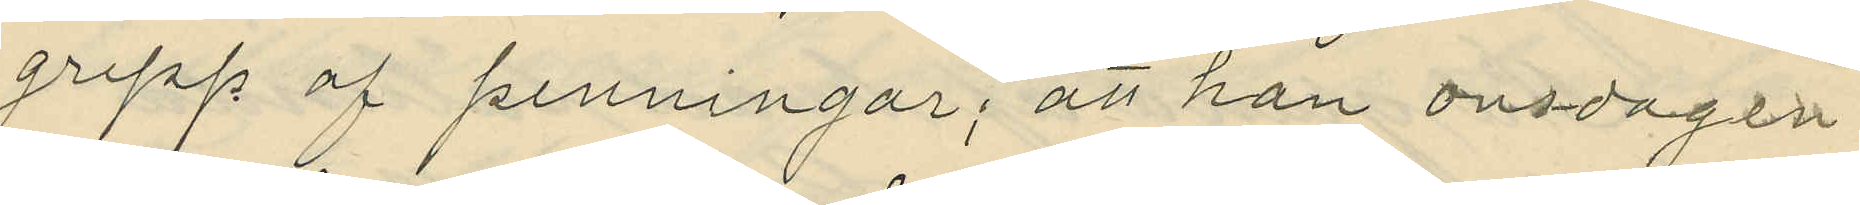grepp af penningar; att han onsdagen
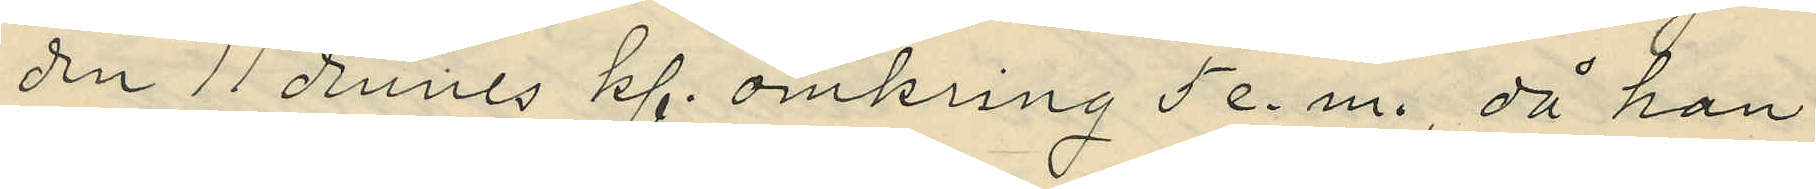den 11 dennes kl. omkring 5 e. m., då han
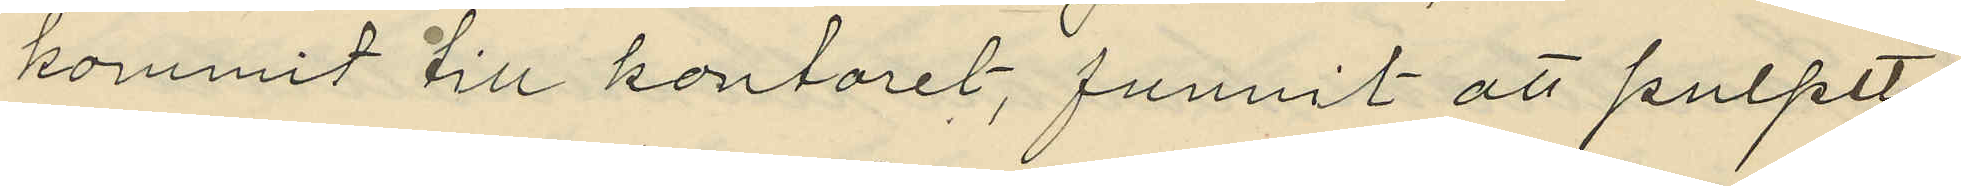kommit till kontoret, funnit att pulpet¬
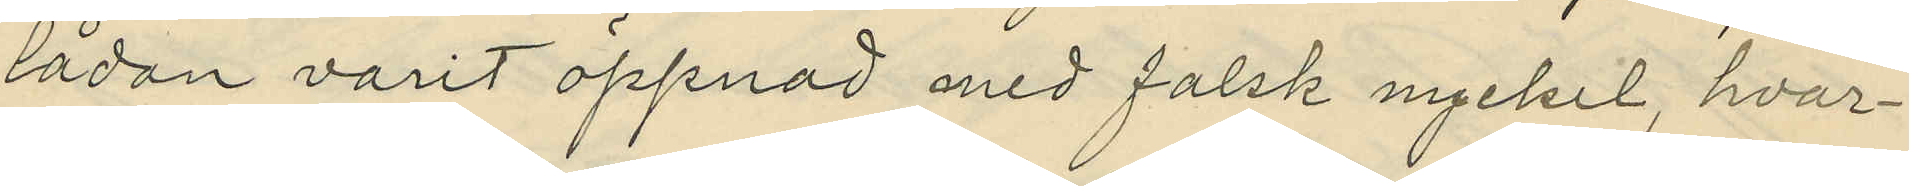lådan varit öppnad med falsk nyckel, hvar¬
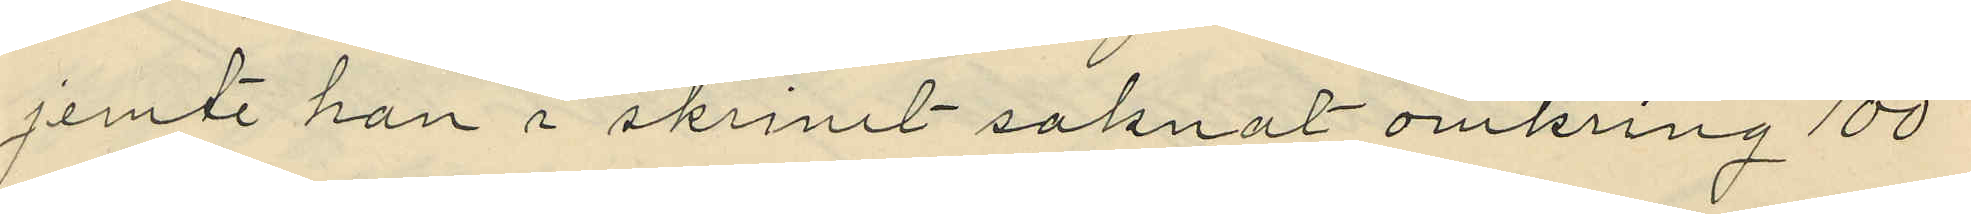jemte han i skrinet saknat omkring 100
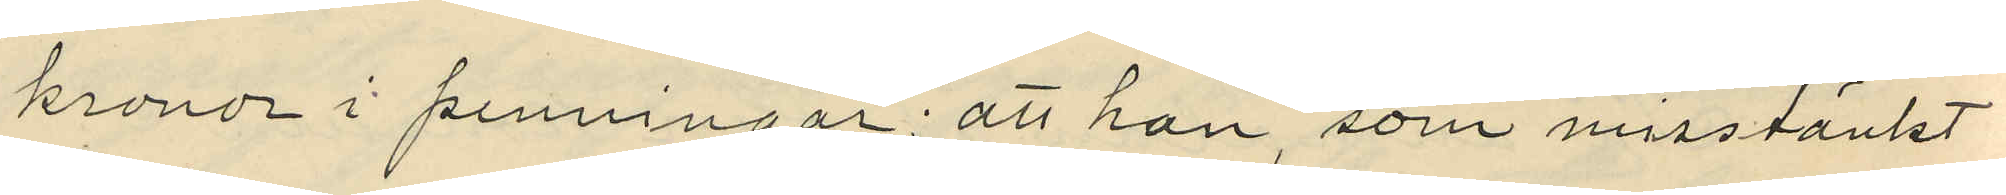kronor i penningar; att han, som misstänkt
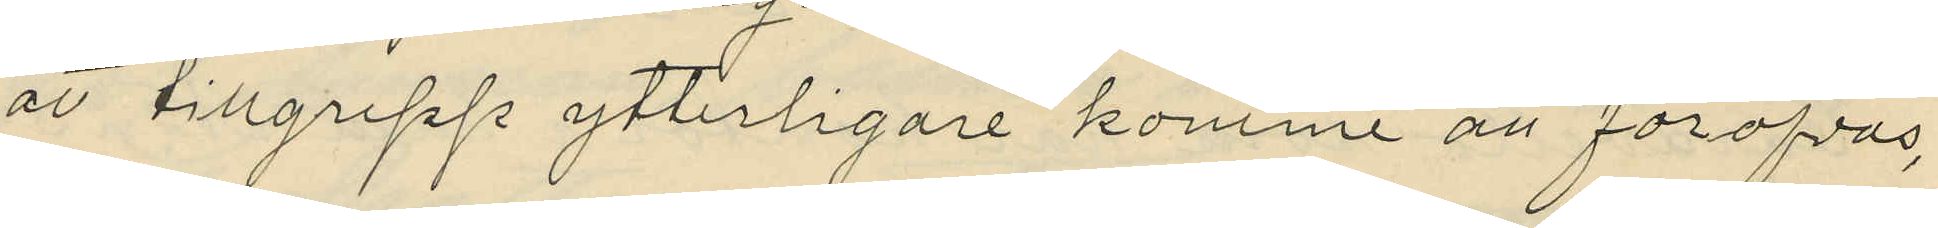att tillgrepp ytterligare komme at föröfvas,
